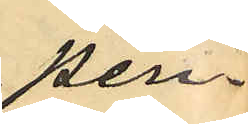pen¬
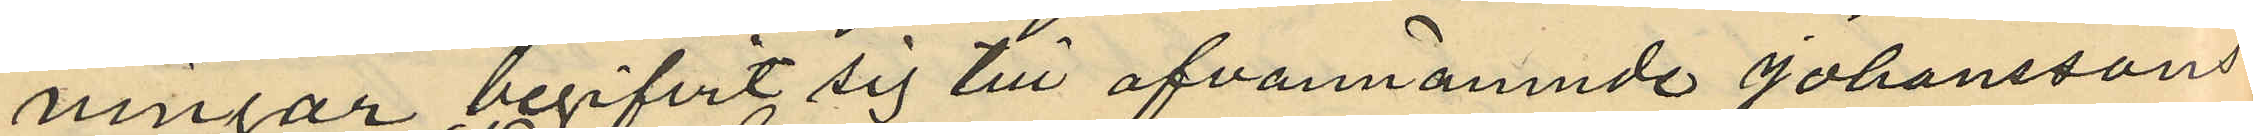ningar begifvit sig till ofvannämnde Johanssons
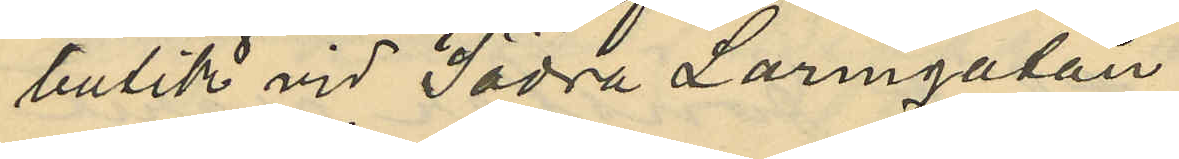butik vid Södra Larmgatan;
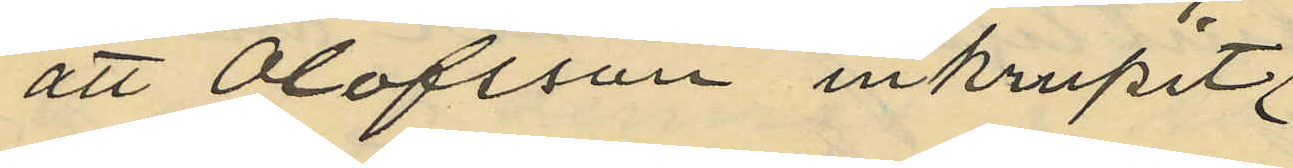att Olofsson inkrupit
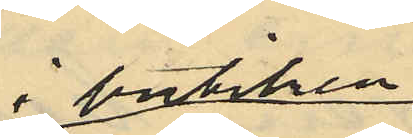i butiken
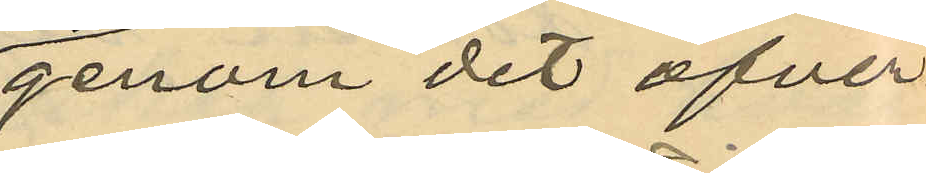genom det öfver
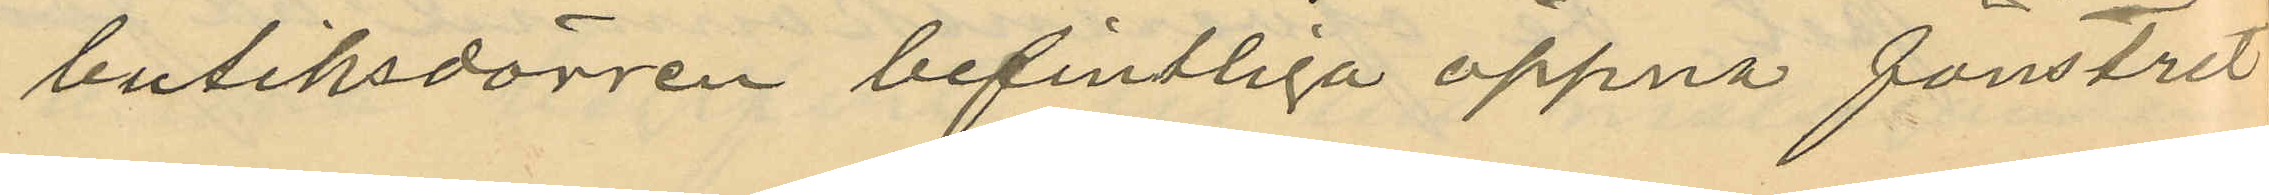butiksdörren befintliga öppna fönstret
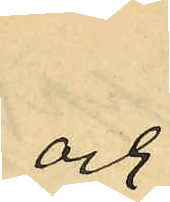och
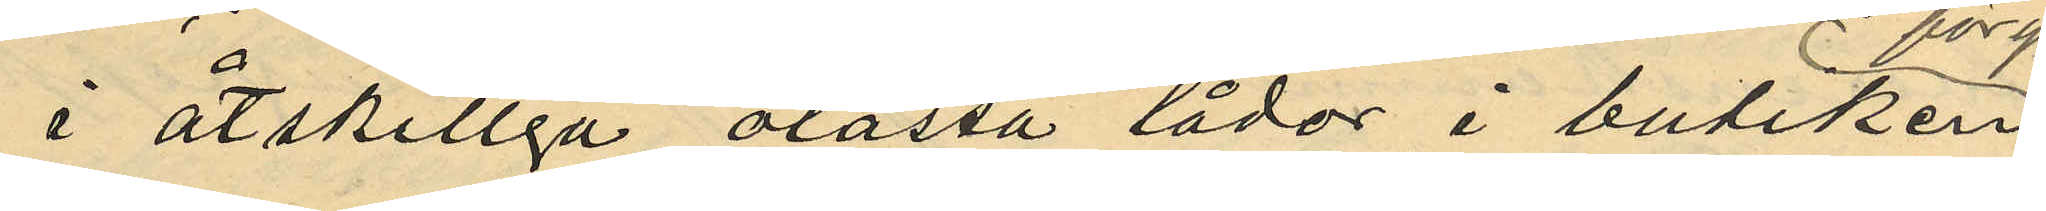i åtskilliga olåsta lådor i butiken
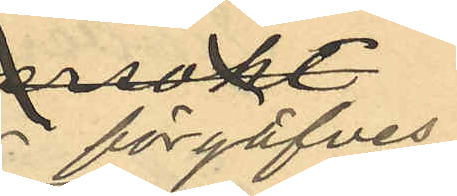förgäfves
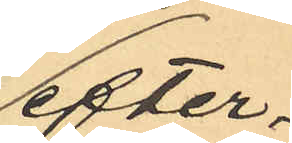efter¬
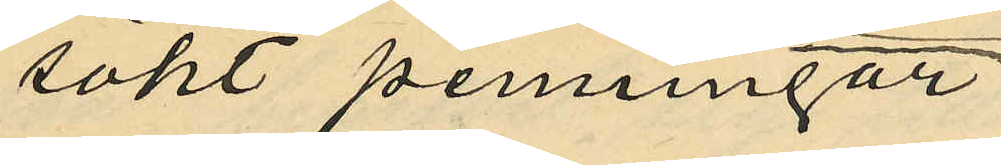sökt penningar
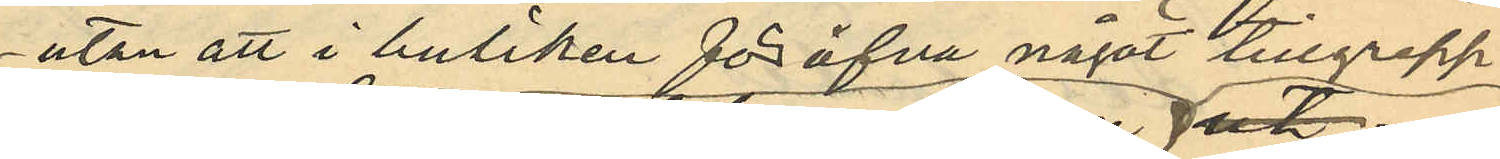utan att i butiken föröfva något tillgrepp
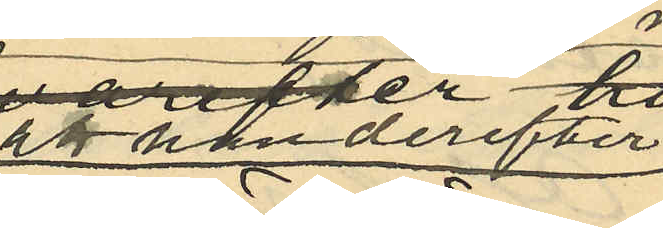utan derefter
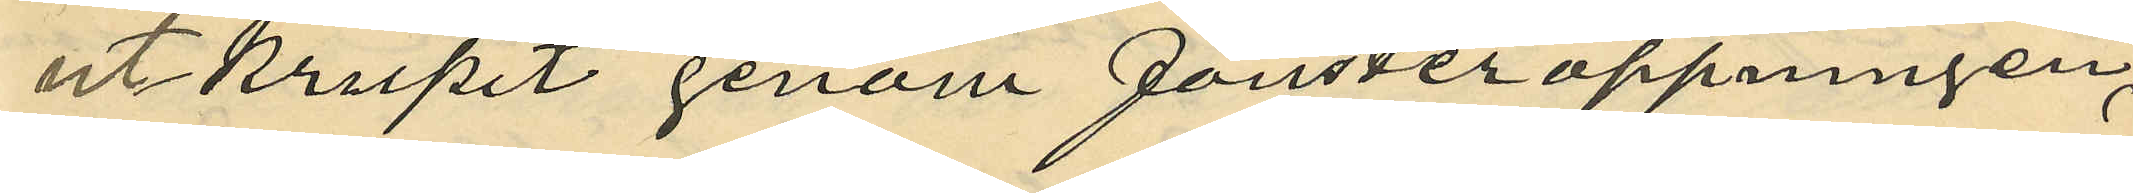utkrupit genom fönsteröppningen,
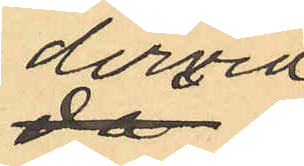dervid
